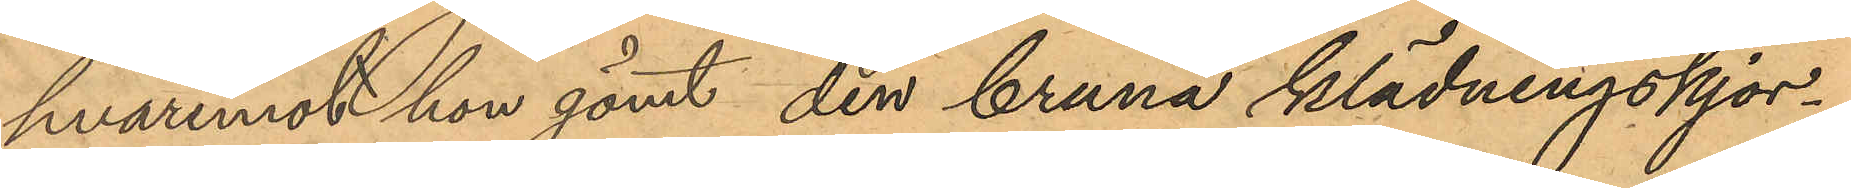hvaremot hon gömt den bruna klädningskjor¬
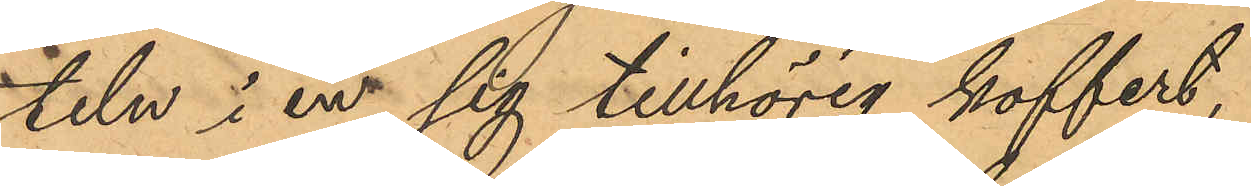teln i en sig tillhörig koffert,
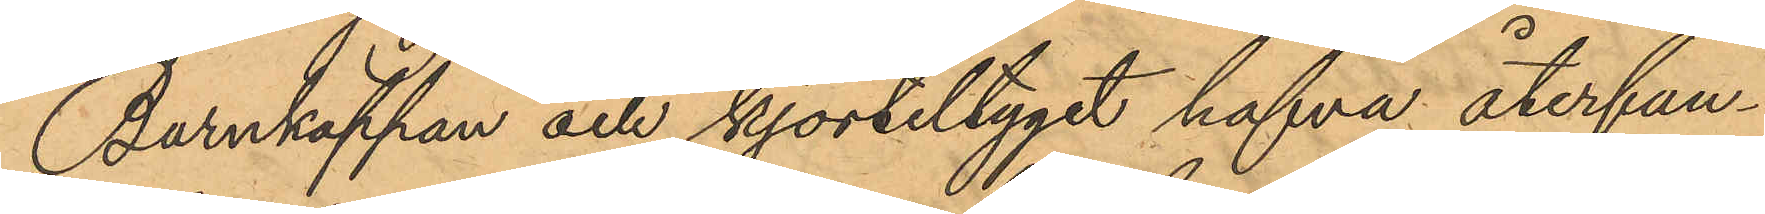Barnkappan och kjorteltyget hafva återfun¬
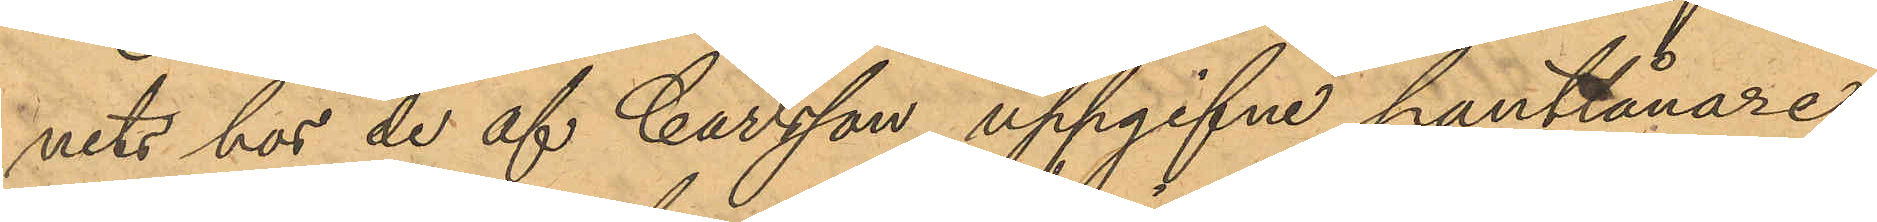nits hos de af Carlsson uppgifne pantlånare
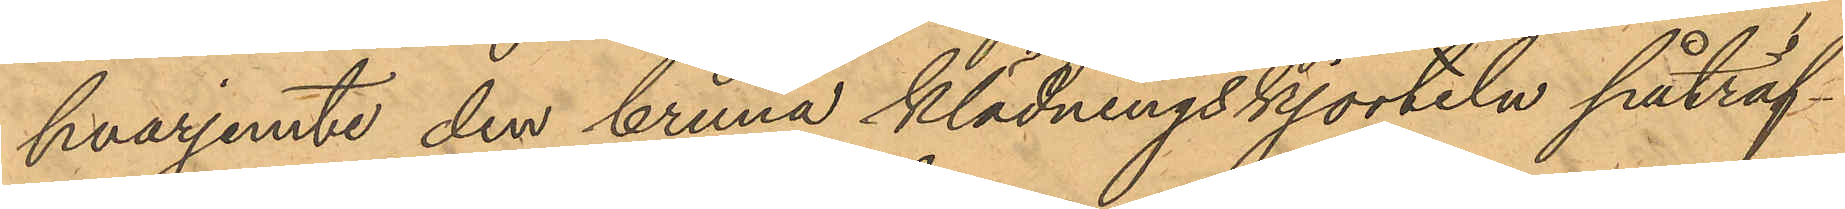hvarjemte den bruna klädningskjorteln påträf¬
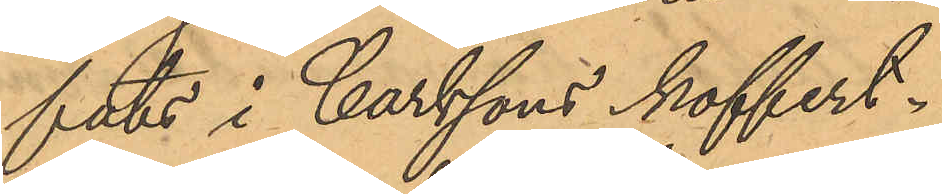fats i Carlssons koffert.
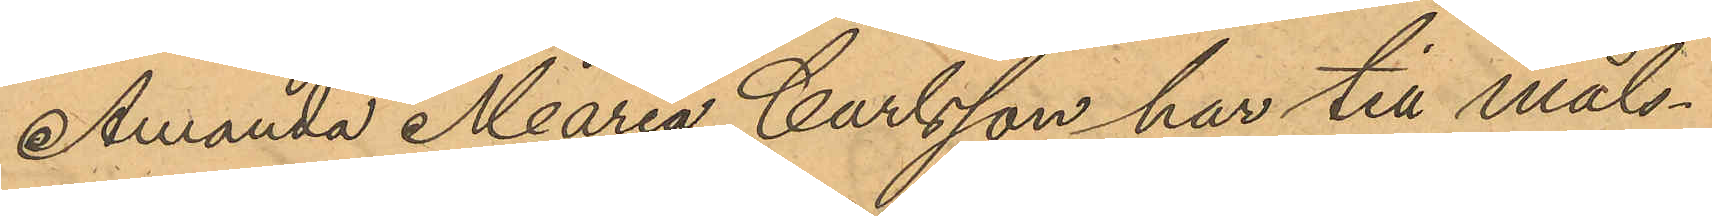Amanda Maria Carlsson har till Måls¬
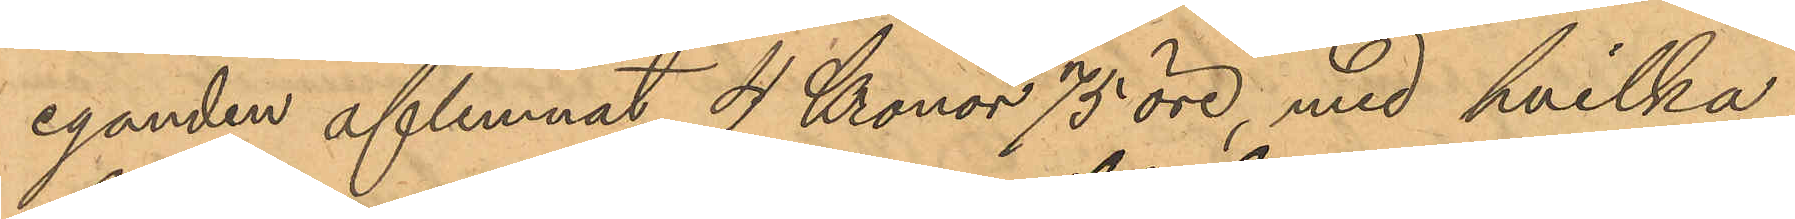eganden aflemnat 4 Kronor 75 öre, med hvilka
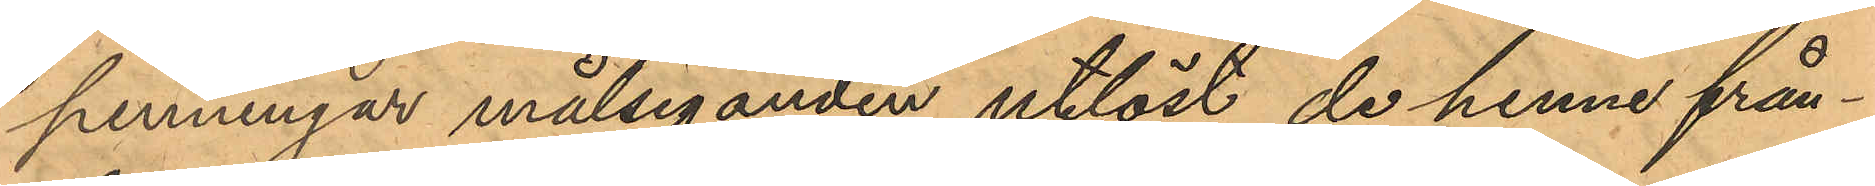penningar målseganden utlöst de henne från¬
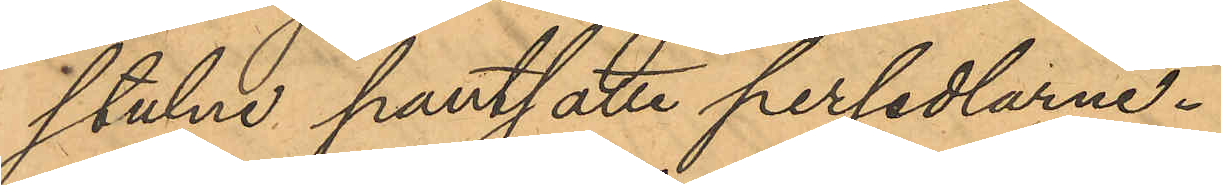stulne pantsatte persedlarne.
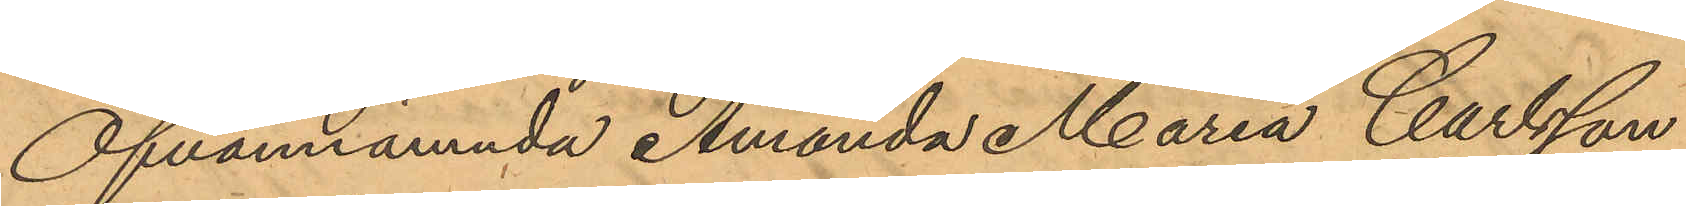Ofvannämnda Amanda Maria Carlsson
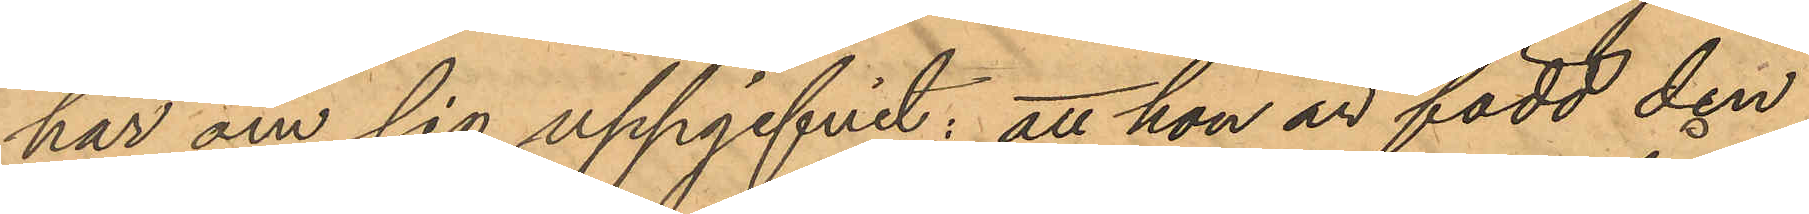har om sig uppgifvit; att hon är född den
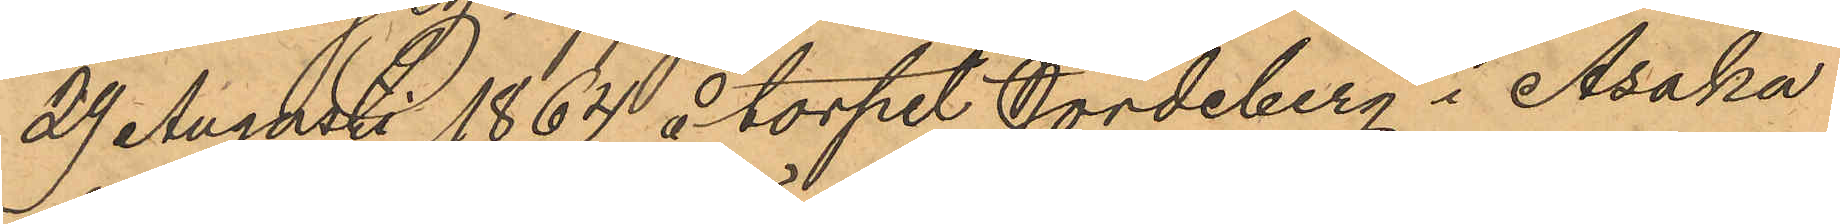29 Augusti 1864 åtorpet Jordeberg i Åsaka
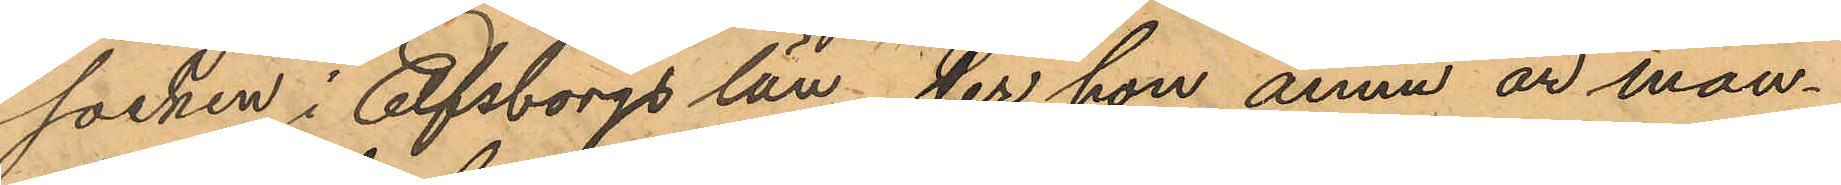socken i Elfsborgs län der hon ännu är man¬
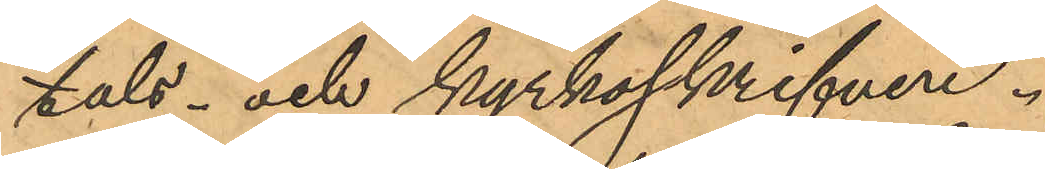tals- och kyrkoskrifven.
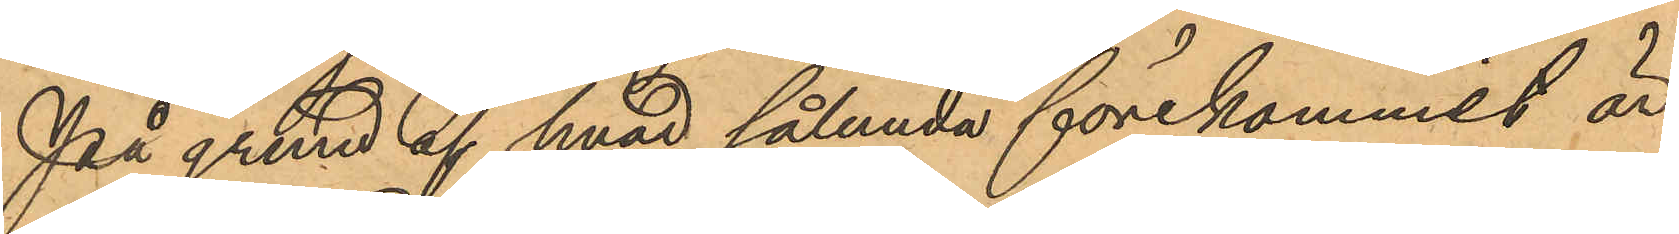På grund af hvad sålunda förekommit är
